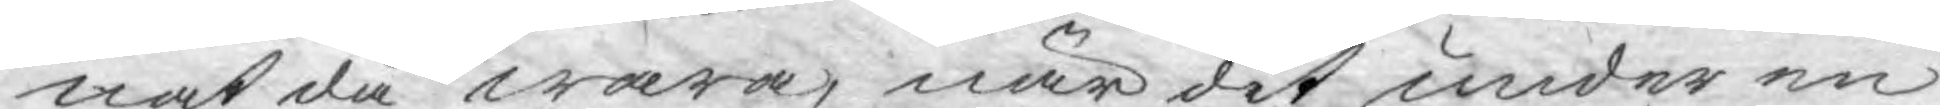nat då wara, när det under en
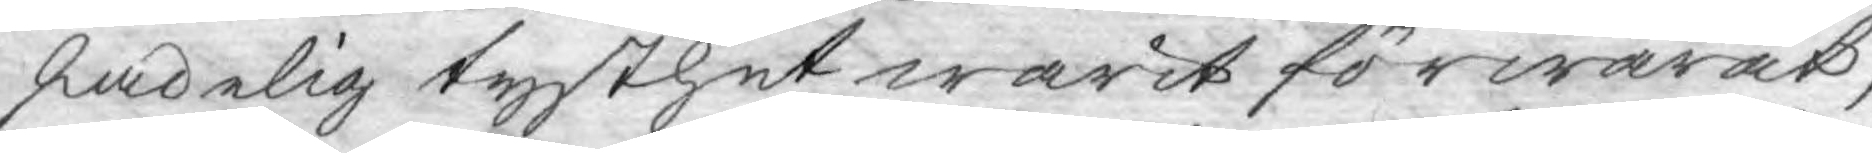skadelig tysthet warit förwarat,
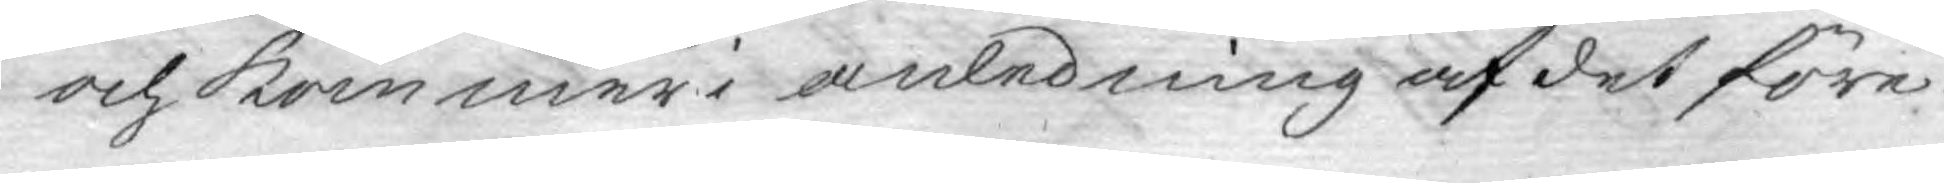och kommer i anledning af det före¬
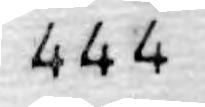444
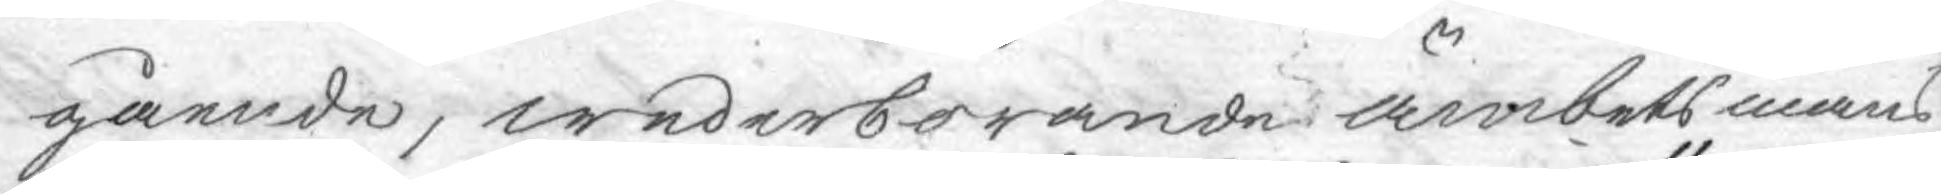gående, wederbörande ämbetsmäns
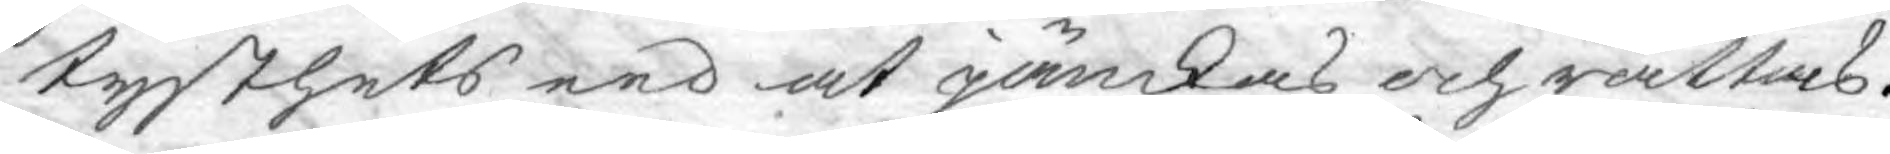tysthets eed at jämkas och rättas.
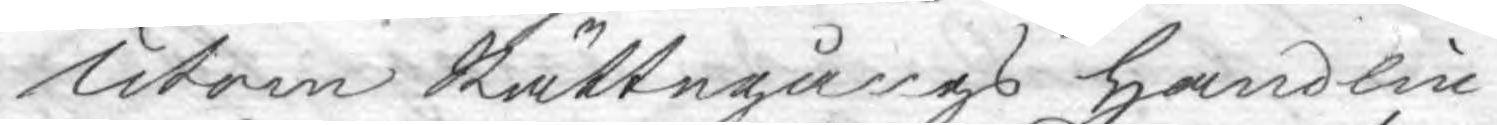Utom Rättegångs handlin¬
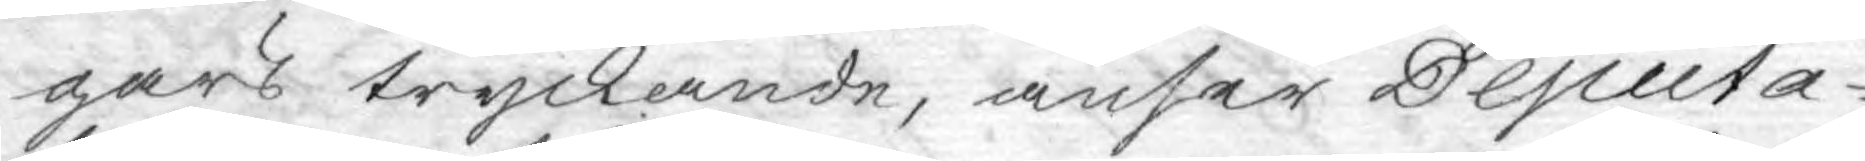gars tryckande, anser Deputa¬
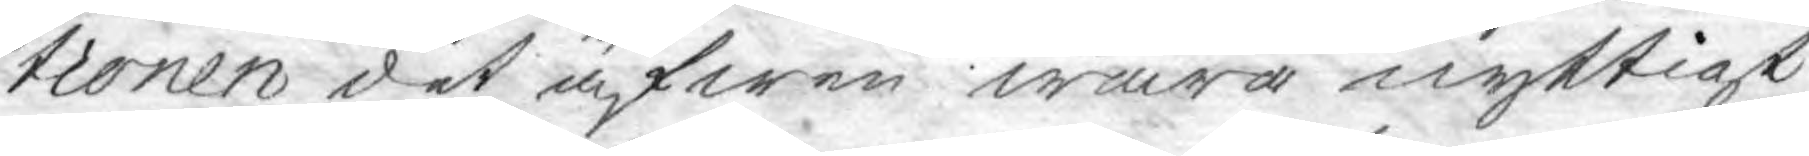tionen det äfwen wara nyttigt
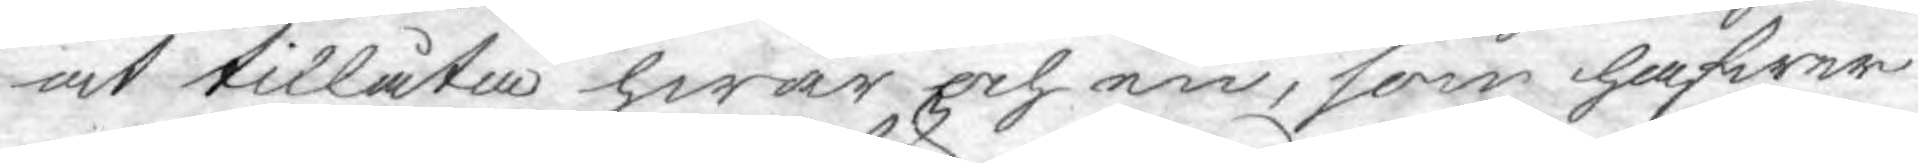at tillåta hwar och en, som hafwer
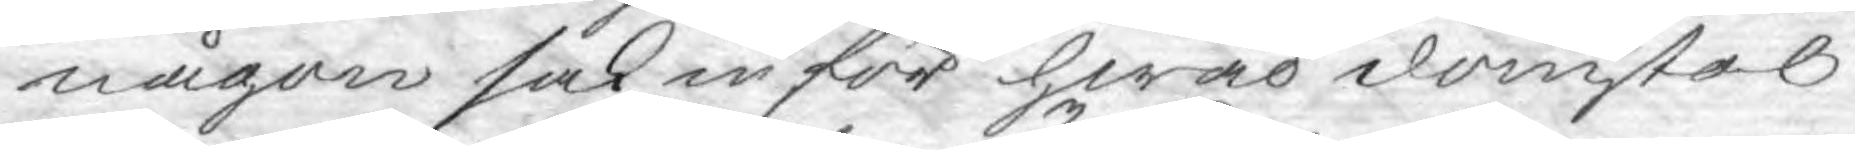någon sak inför hwad domstol
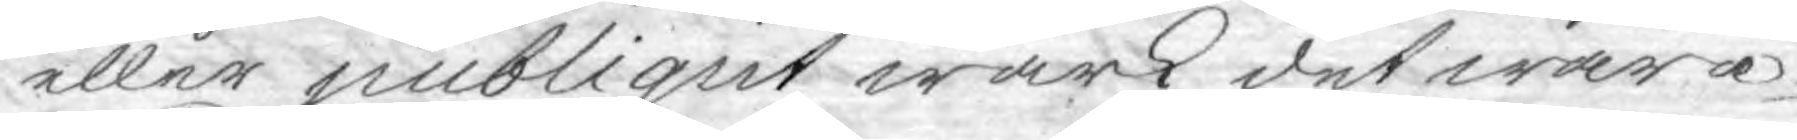eller publiqut wärk det wara
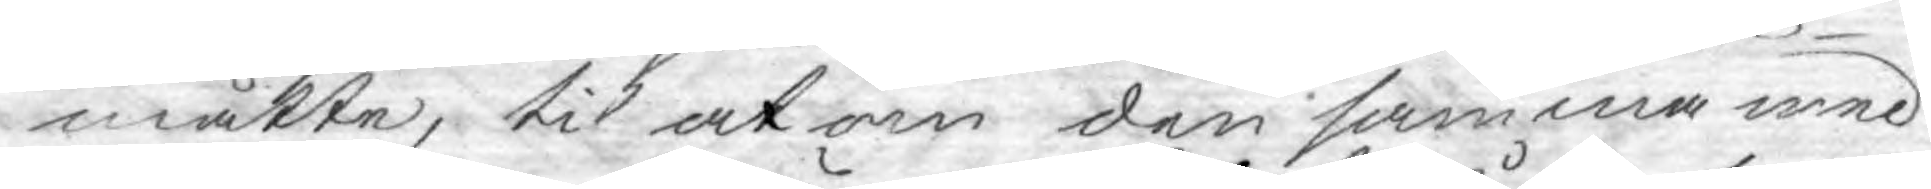måtte, til at om den samma med
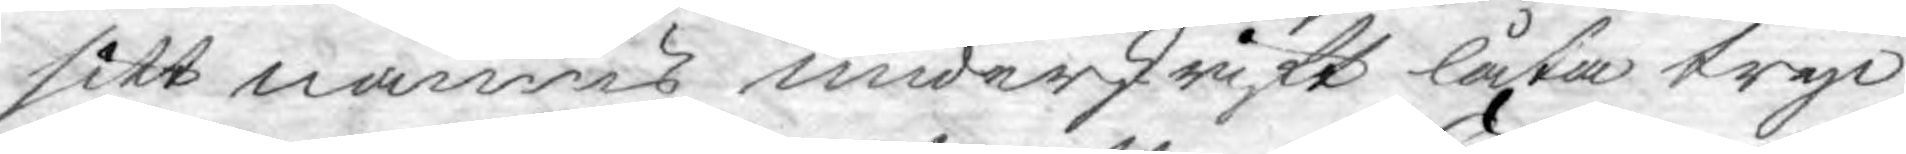sitt namns underskrift låta tryc¬
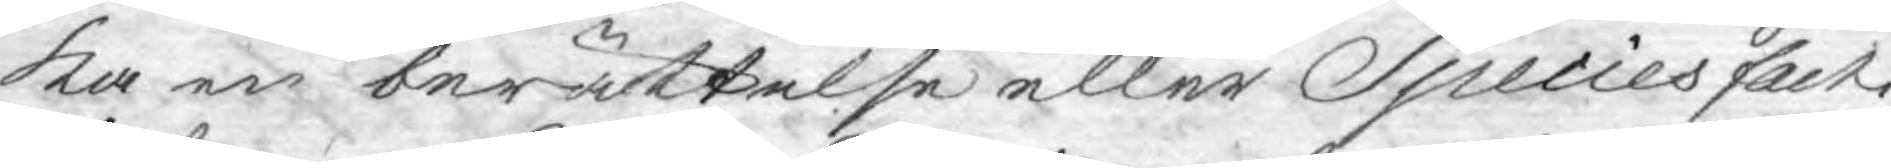ka en berättelse eller Species facti,
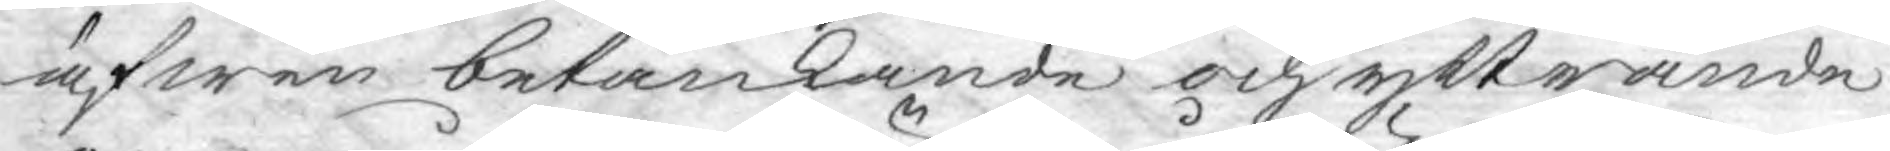äfwen betänkande och yttrande
